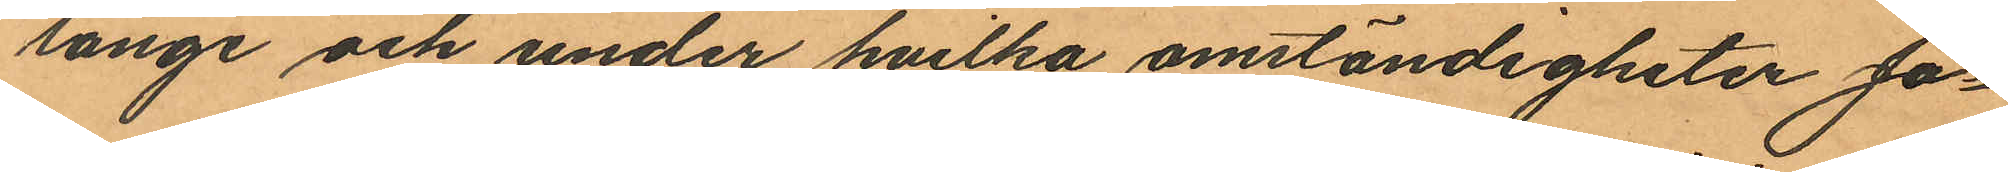länge och under hvilka omständigheter Jo¬
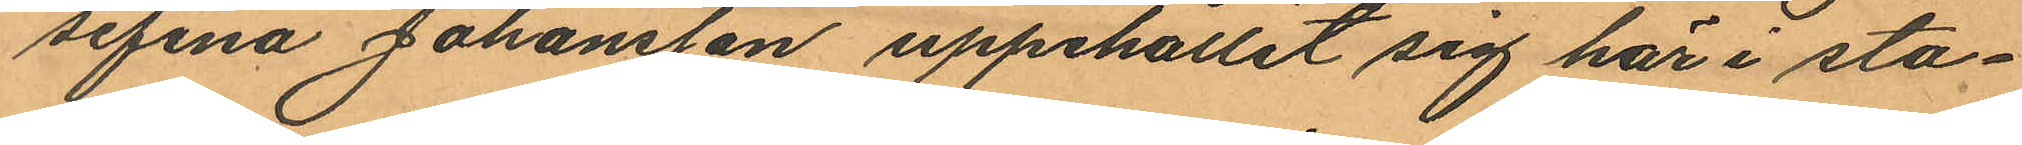sefina Johansson uppehållit sig här i sta¬
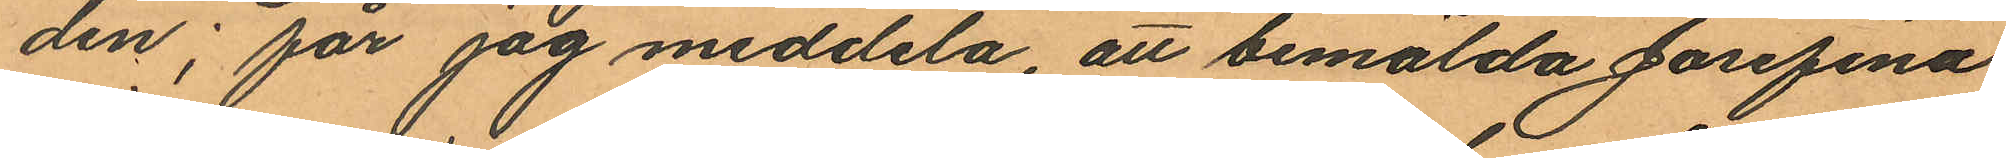den; får jag meddela, att bemälda Josefina
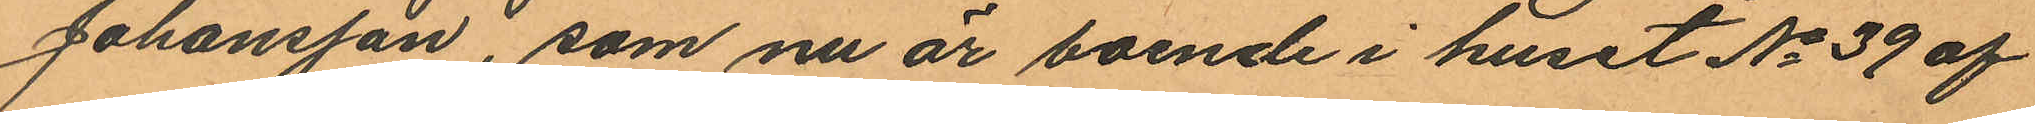Johansson, som nu är boende i huset No 39 af
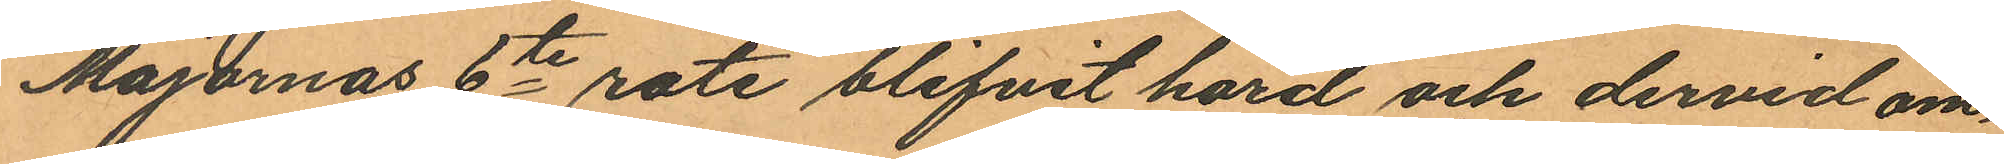Majornas 6te rote blifvit hörd och dervid om
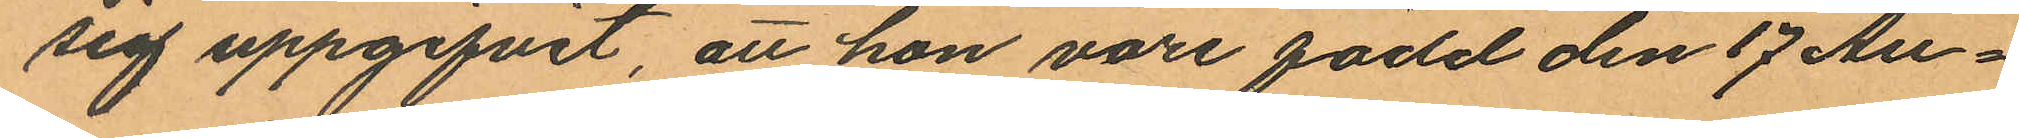sig uppgifvit, att hon vore född den 17 Au¬
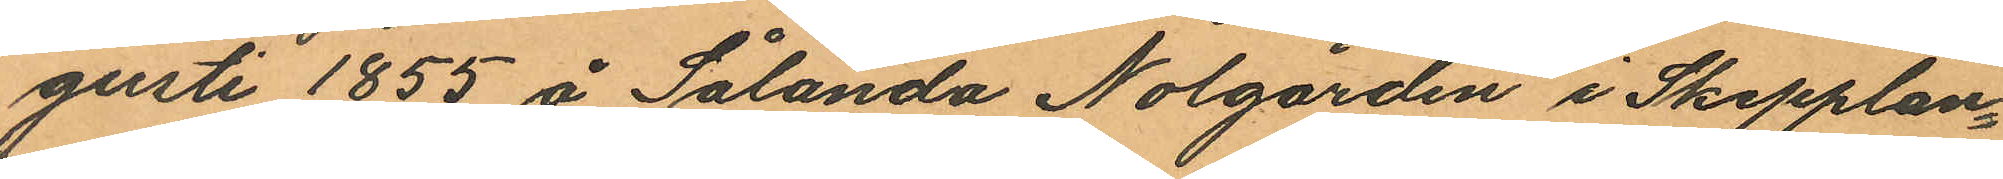gusti 1855 å Sålanda Nolgården i Skepplan¬
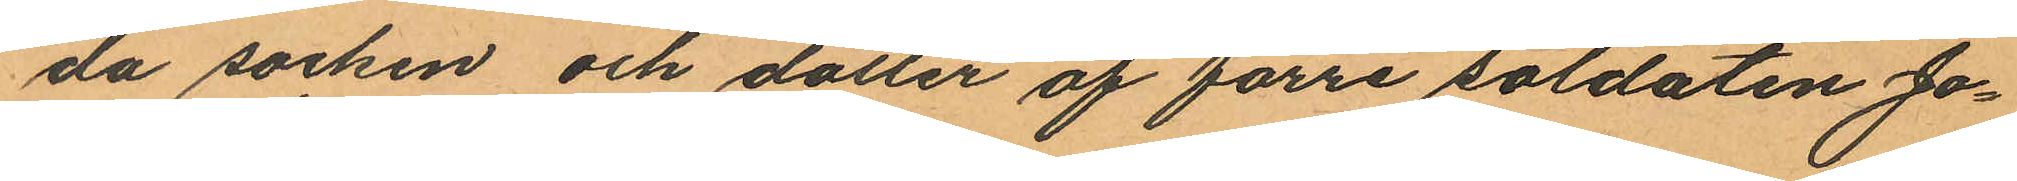da socken och dotter af förre soldaten Jo¬
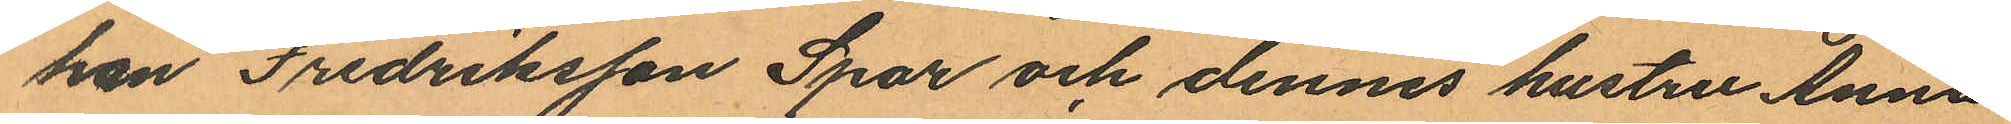han Fredriksson Spar och dennes hustru Anna
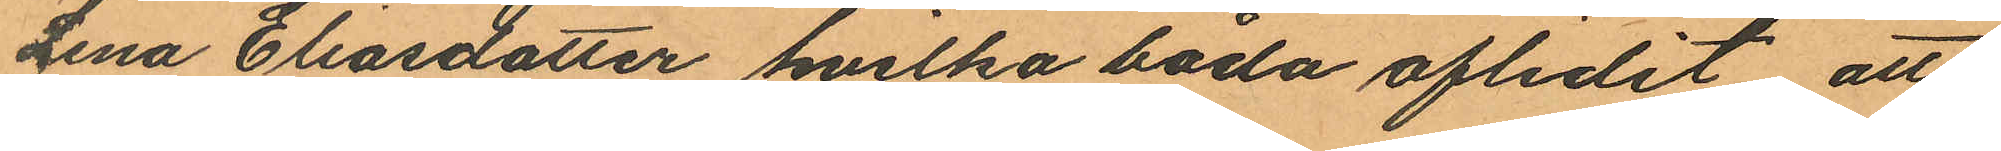Lena Eliasdotter hvilka båda aflidit, att
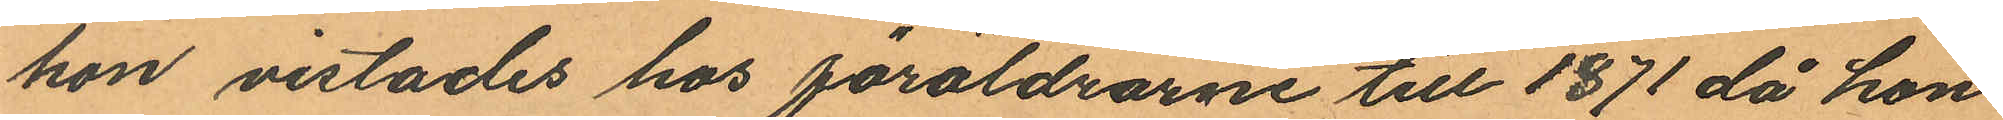hon vistades hos föräldrarne till 1871 då hon
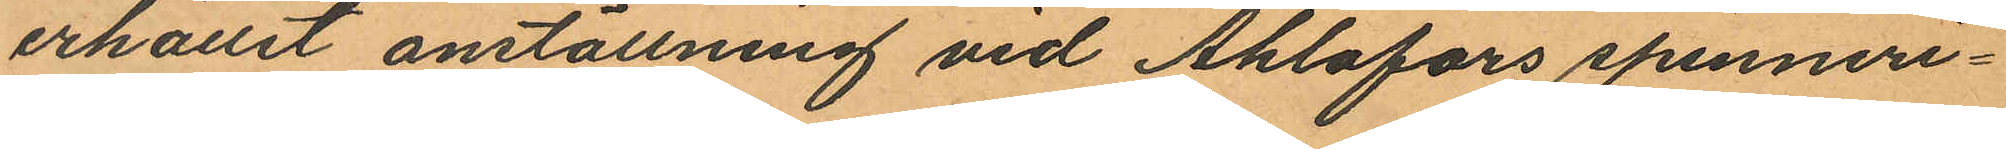erhållit anställning vid Ahlafors spinneri¬
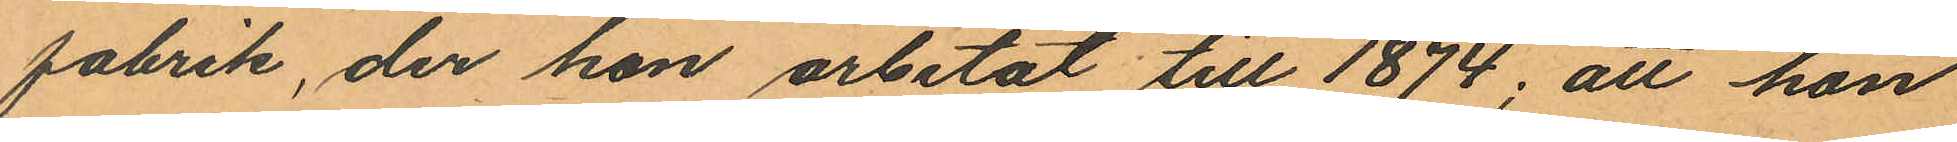fabrik, der hon arbetat till 1874; att hon
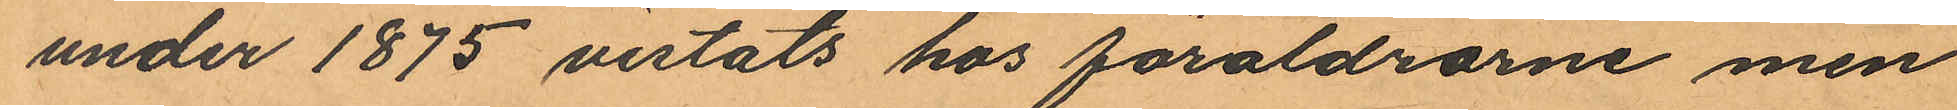under 1875 vistats hos föräldrarne men
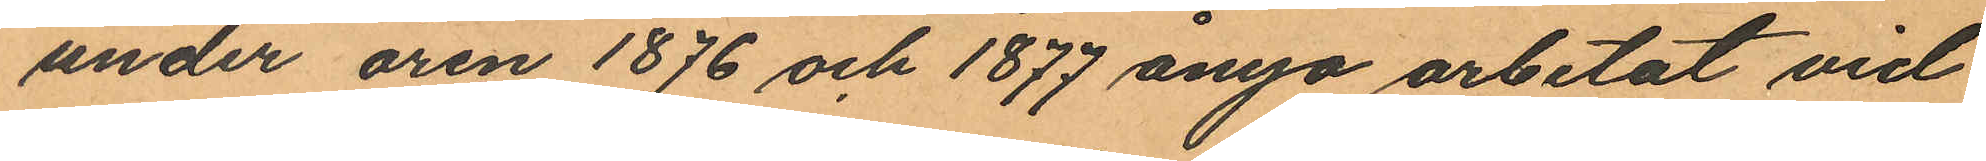under åren 1876 och 1877 ånyo arbetat vid
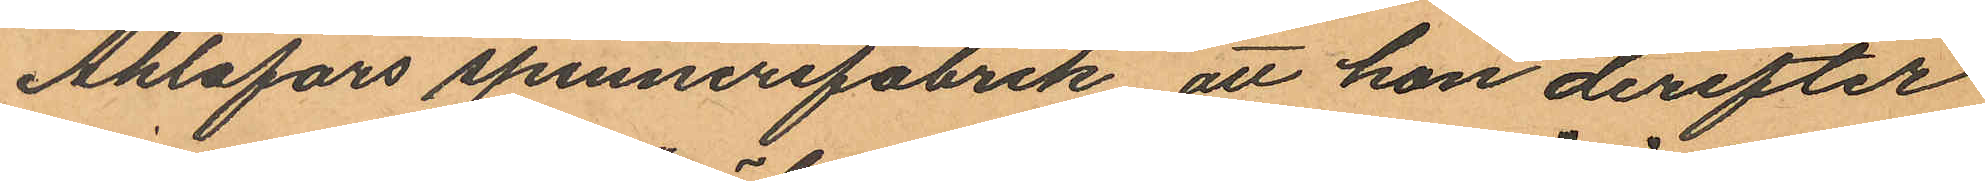Ahlafors spinnerifabrik att hon derefter
